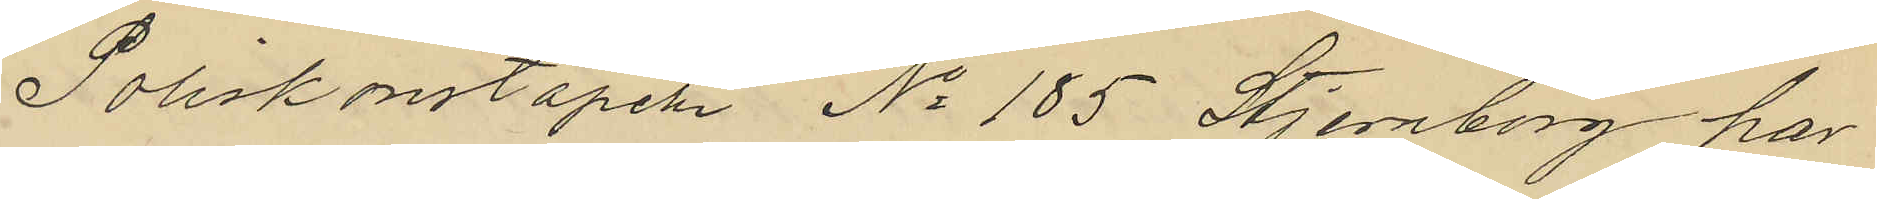Poliskonstapeln No 185 Stjenborg har
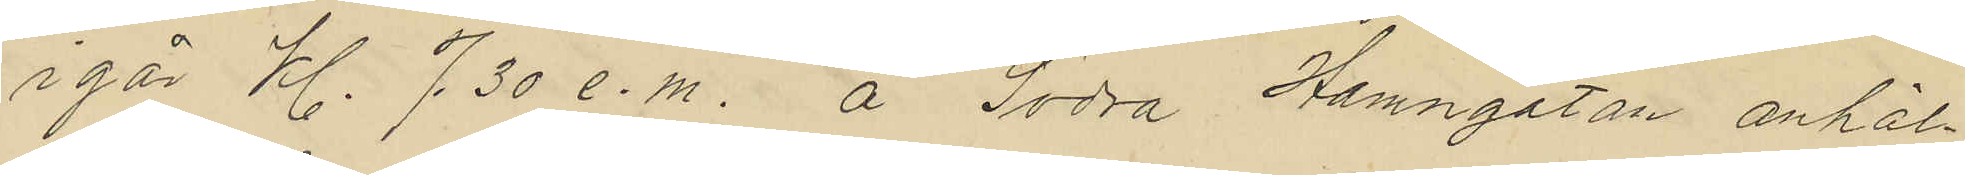igår Kl. 7.30 e.m. å Södra Hamngatan anhål¬
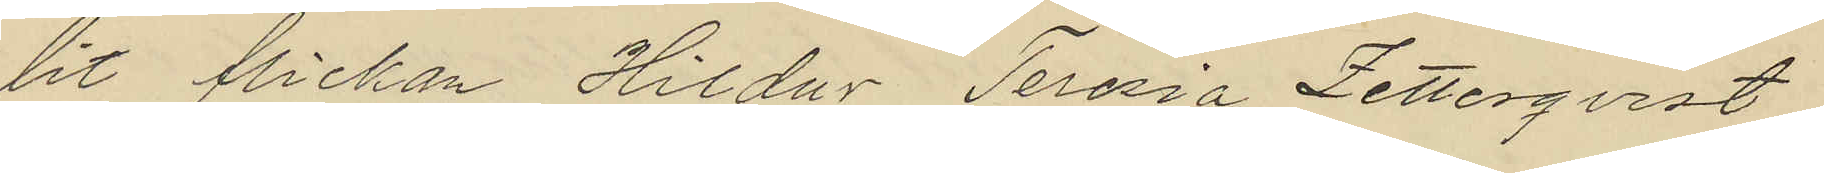lit flickan Hildur Teresia Zetterqvist
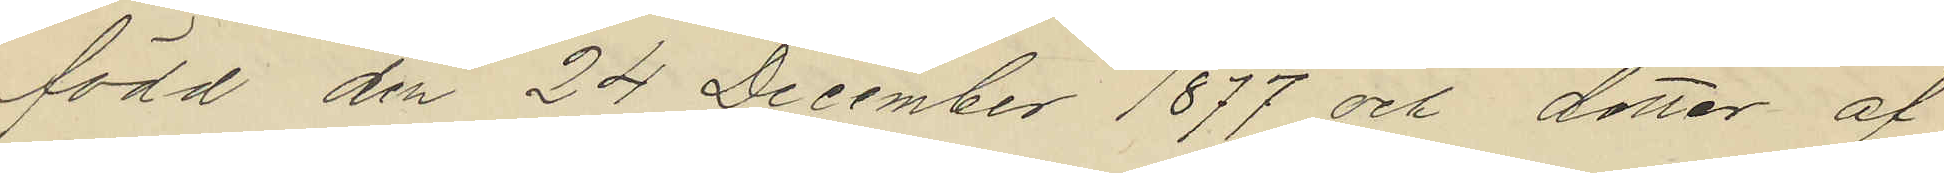född den 24 December 1877 och dotter af
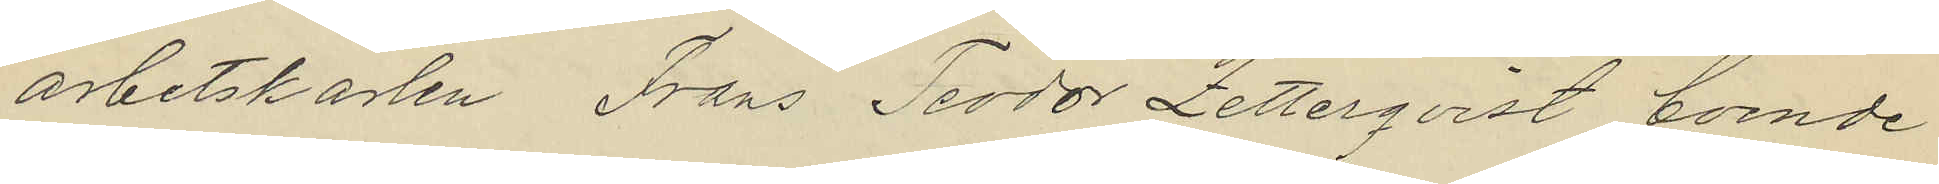arbetskarlen Frans Teodor Zetterqvist boende
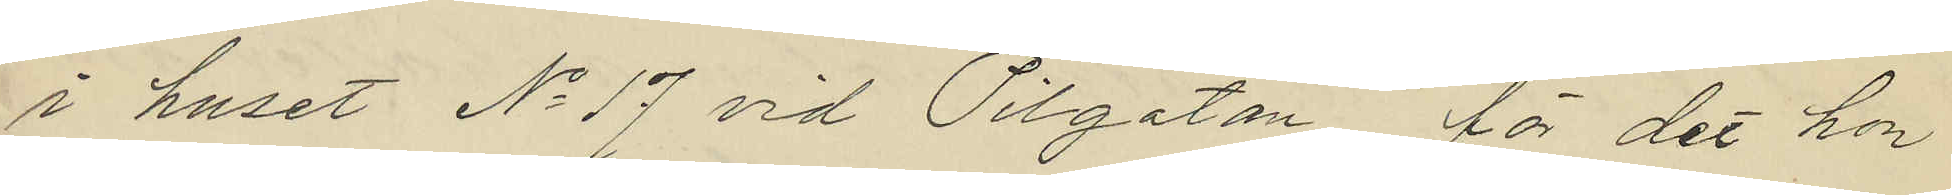i huset No 17 vid Pilgatan för det hon
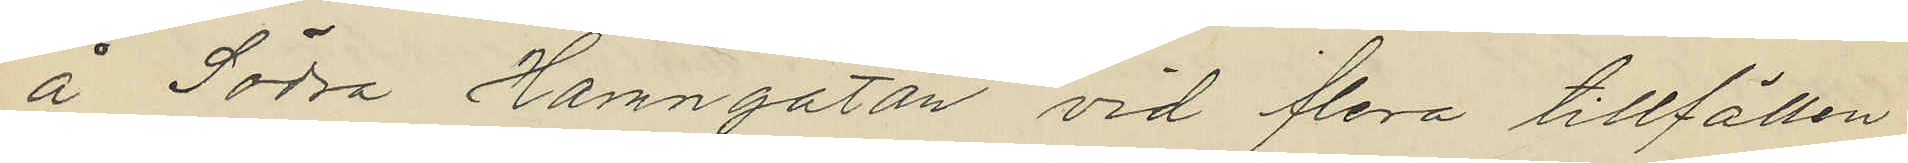å Södra Hamngatan vid flera tillfällen
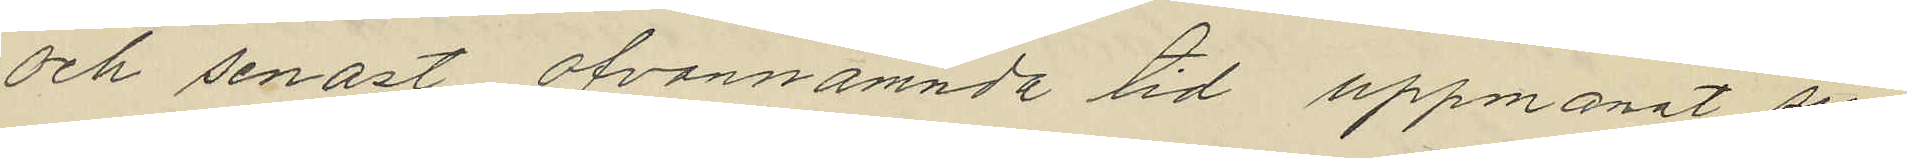och senast ofvannämnda tid uppmanat sin
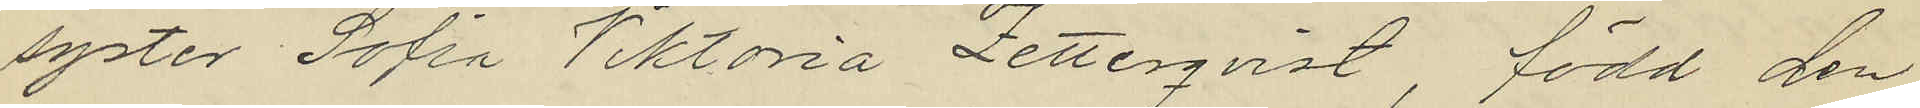syster Sofia Viktoria Zetterqvist, född den
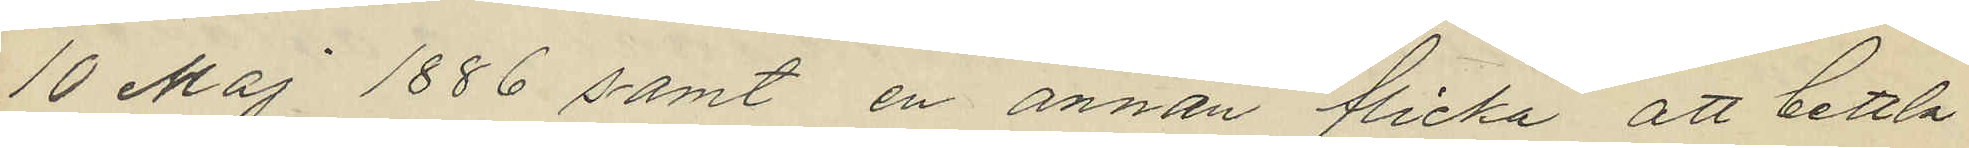10 Maj 1886 samt en annan flicka att bettla
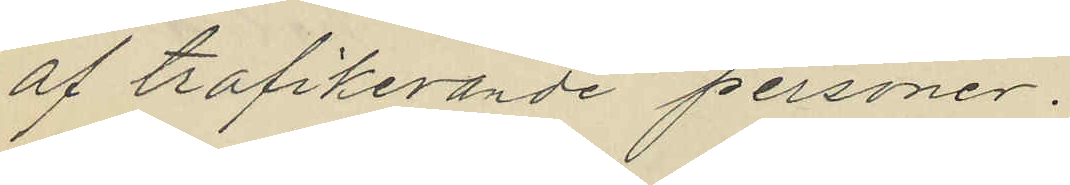af trafikerande personer.
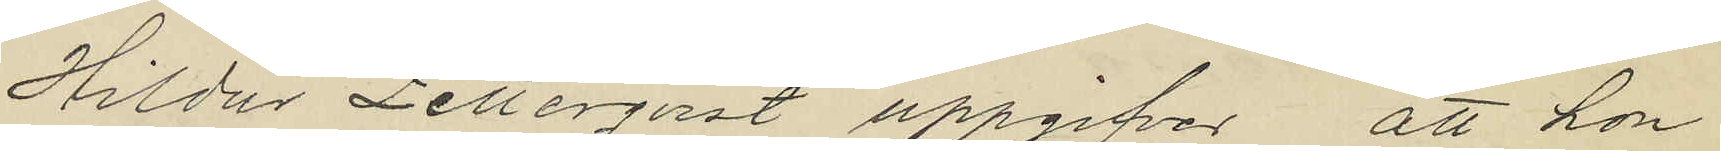Hildur Zetterqvist uppgifver att hon
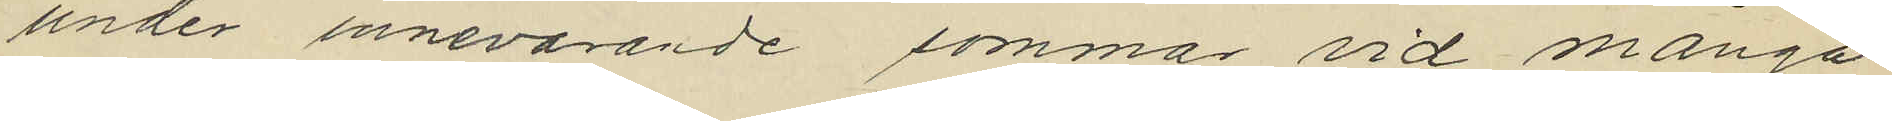under innevarande sommar vid många
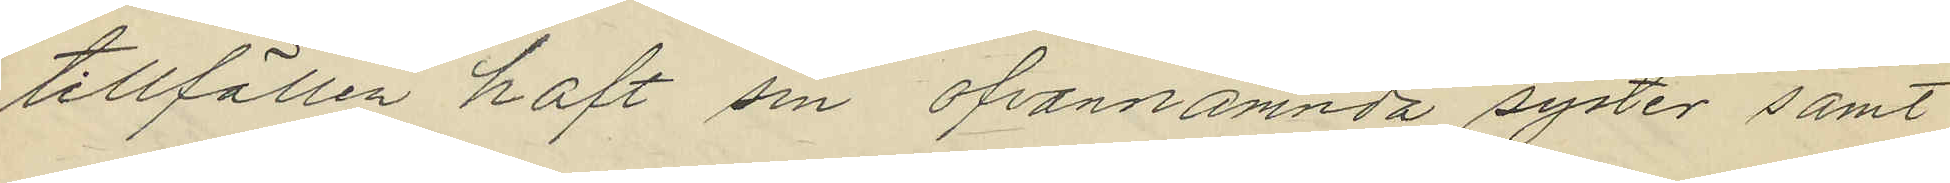tillfällen haft sin ofvannämnda syster samt
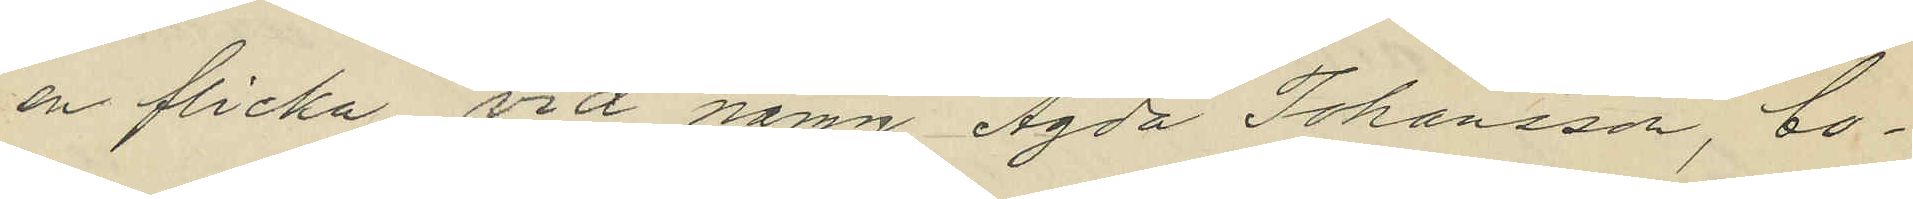en flicka vid namn Agda Johansson, bo¬
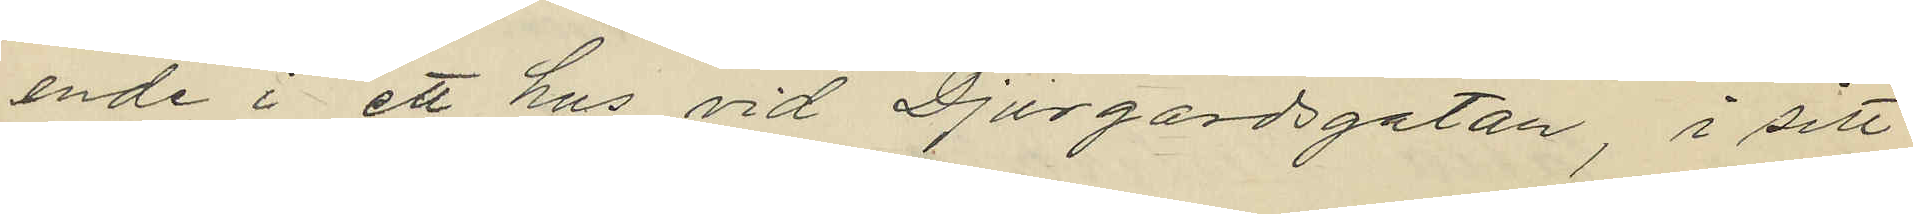ende i ett hus vid Djurgårdsgatan, i sitt
